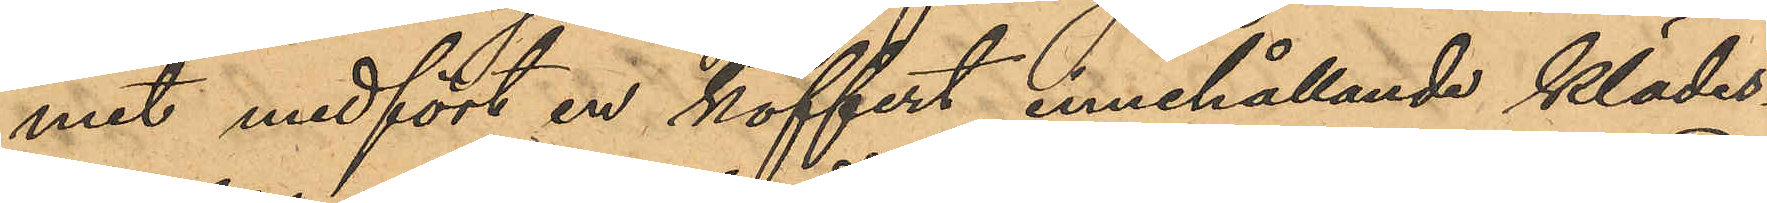mit medfört en koffert, innehållande klädes¬
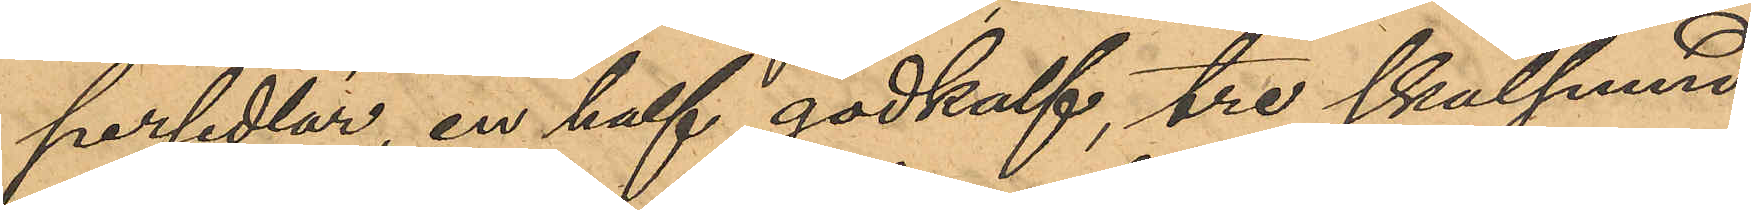persedlar, en half gödkalf, tre skålpund
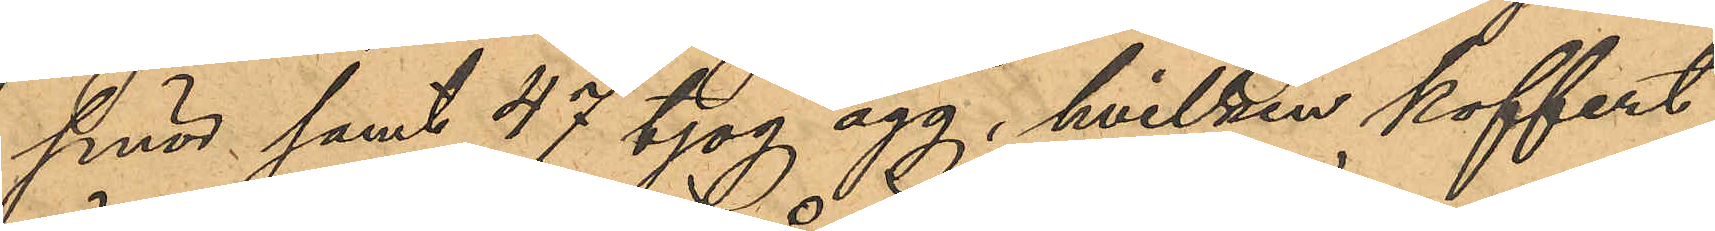smör samt 47 tjog ägg, hvilken koffert
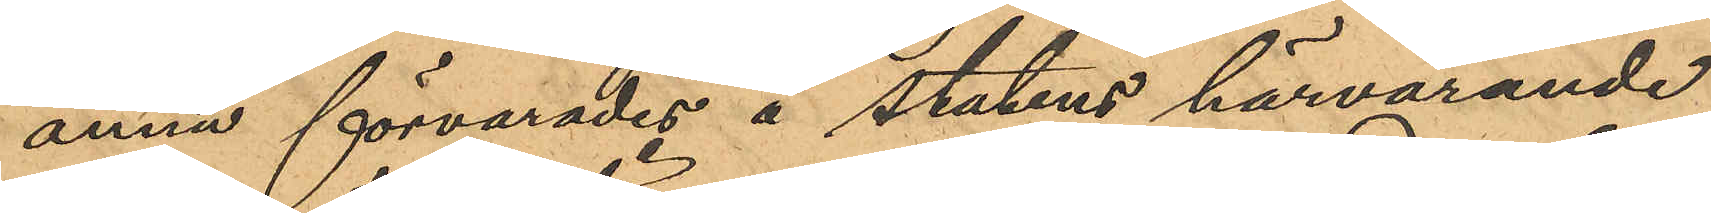ännu förvarades å statens härvarande
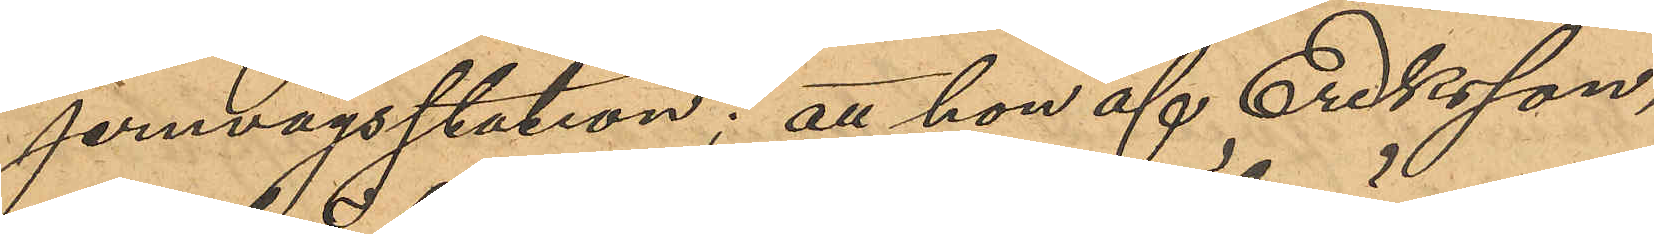jernvägsstation; att hon af Eriksson,
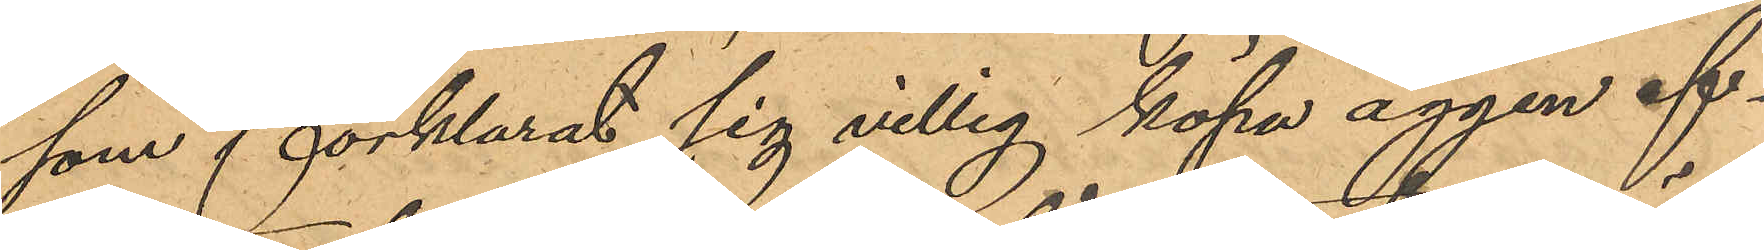som förklarat sig villig köpa äggen ef¬
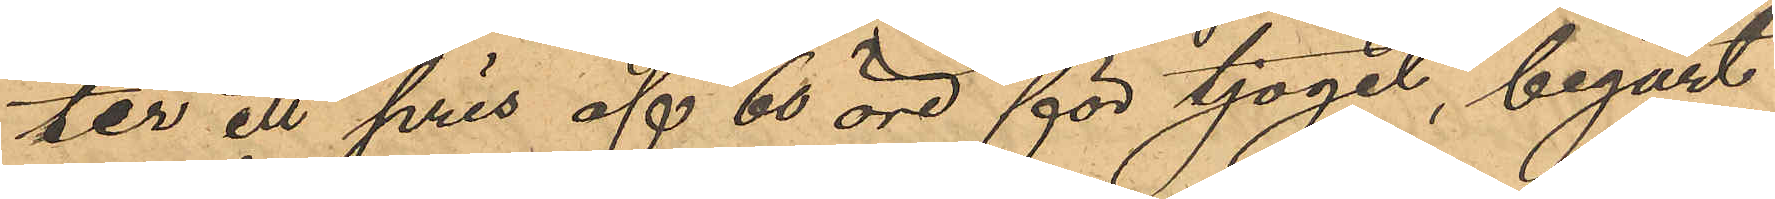ter ett pris af 60 öre för tjoget, begärt
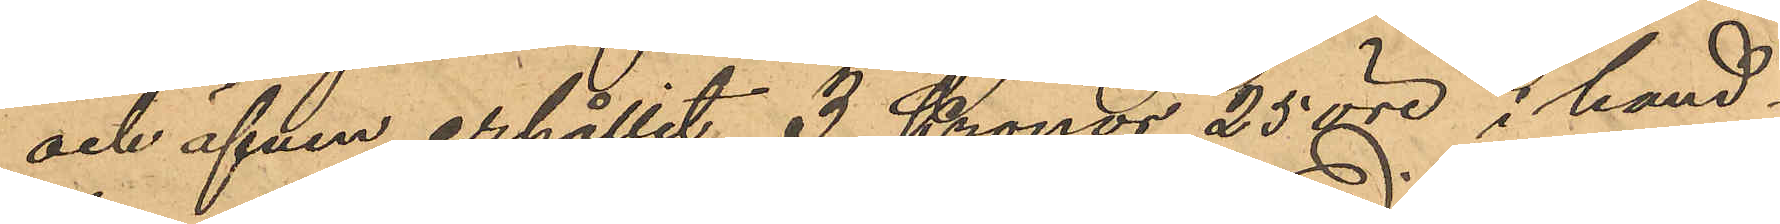och äfven erhållit 3 Kronor 25 öre i hand¬
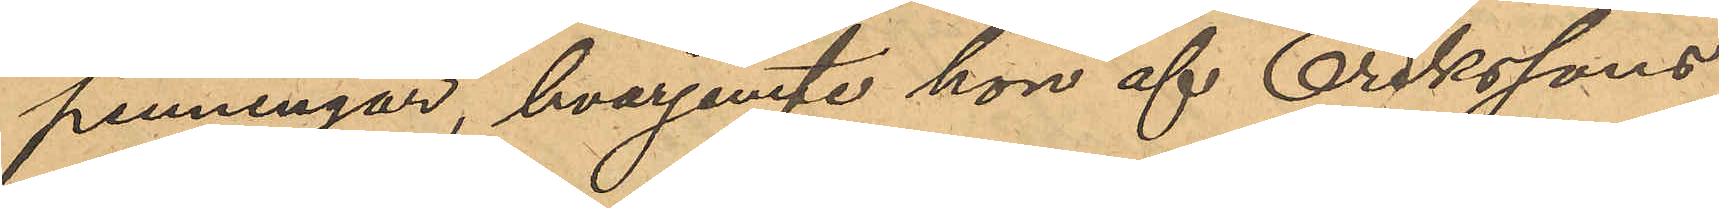penningar, hvarjemte hon af Erikssons
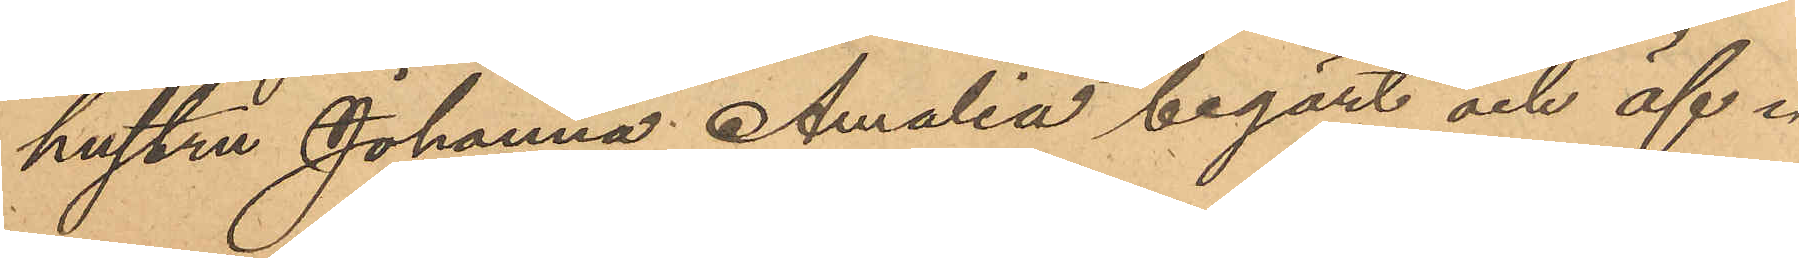hustru Johanna Amalia begärt och äf¬
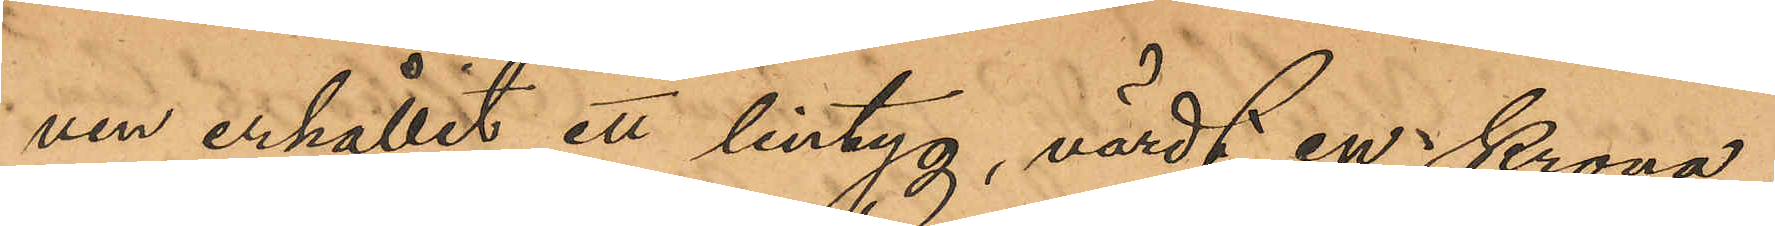ven erhållit ett lintyg, värdt en Krona,
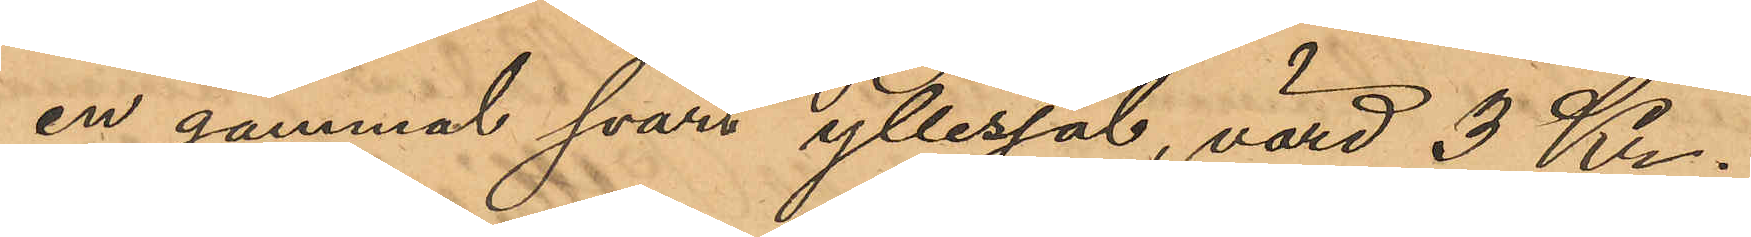en gammal svart yllesjal, värd 3 Kr,
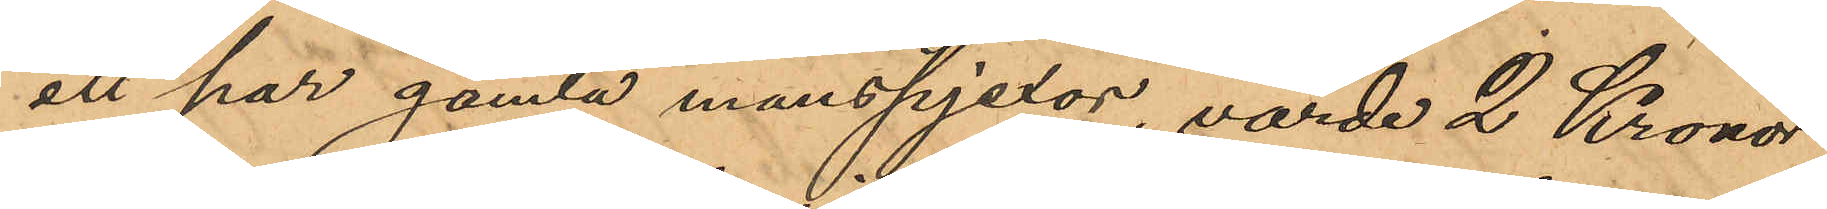ett par gamla manspjexor, värde 2 Kronor,
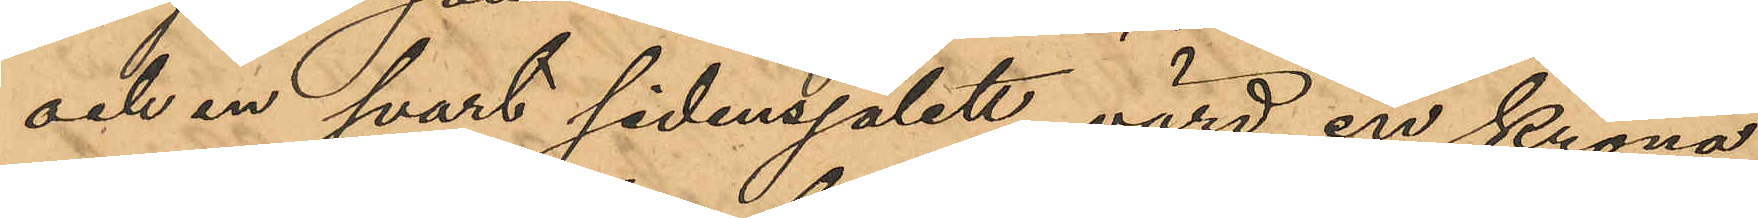och en svart sidensjalett, värd en Krona,
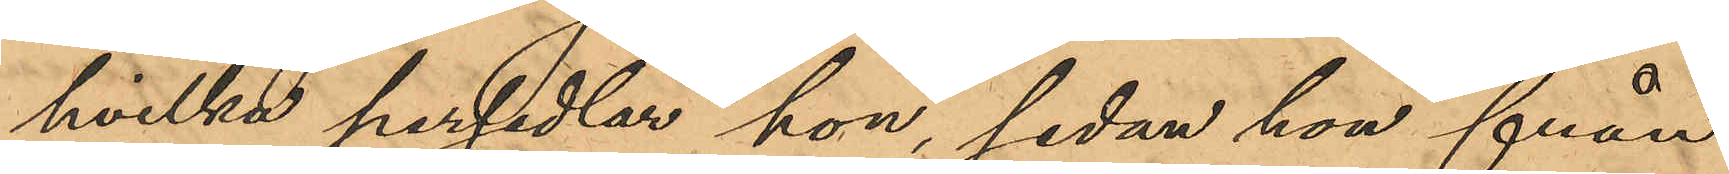hvilka persedlar hon, sedan hon från
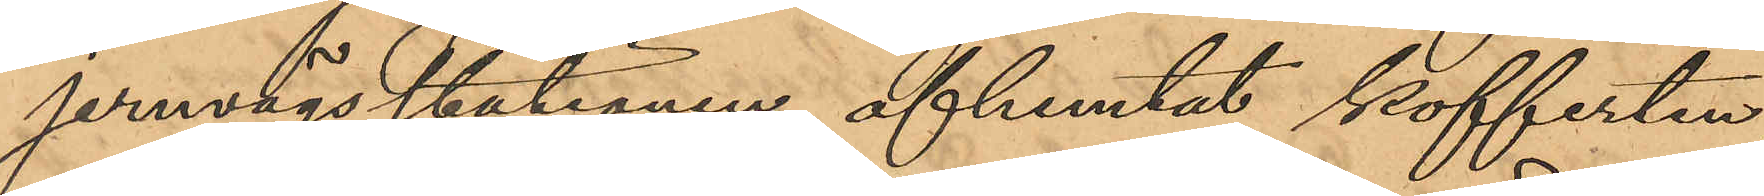jernvägsstationen afhemtat kofferten,
